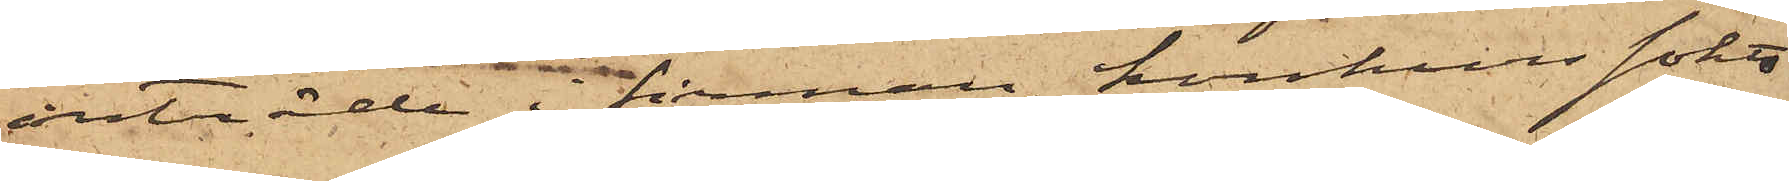inträde i firman, konkurs sökts
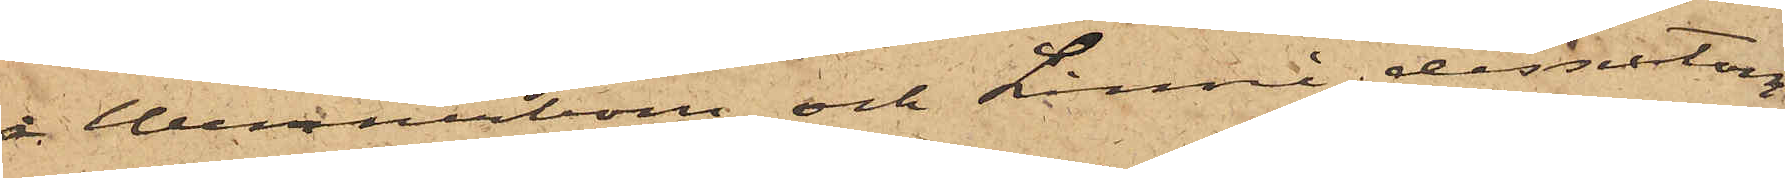å Wennerbom och Linné dessutom
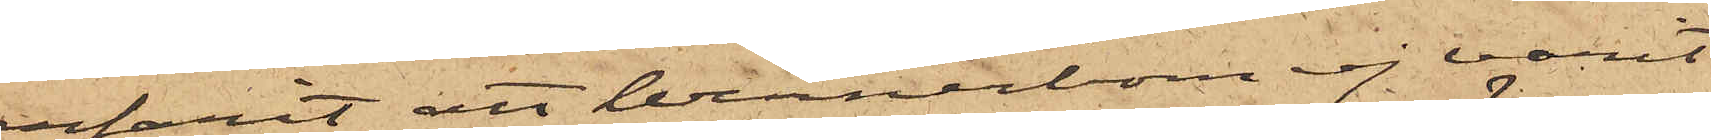erfarit, att Wennerbom ej varit
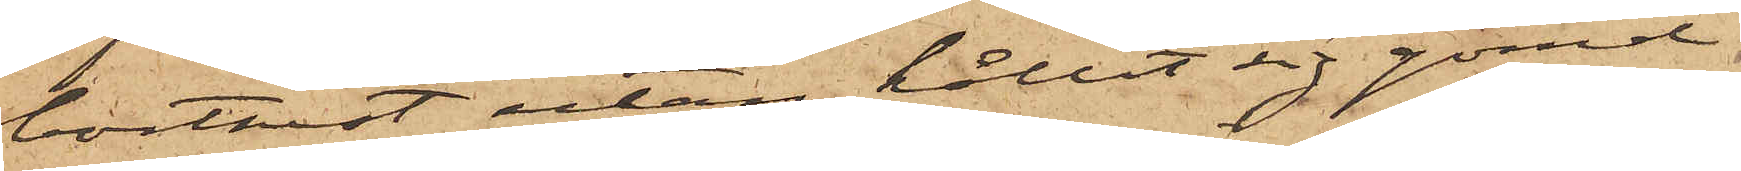bortrest utan hållit sig gömd
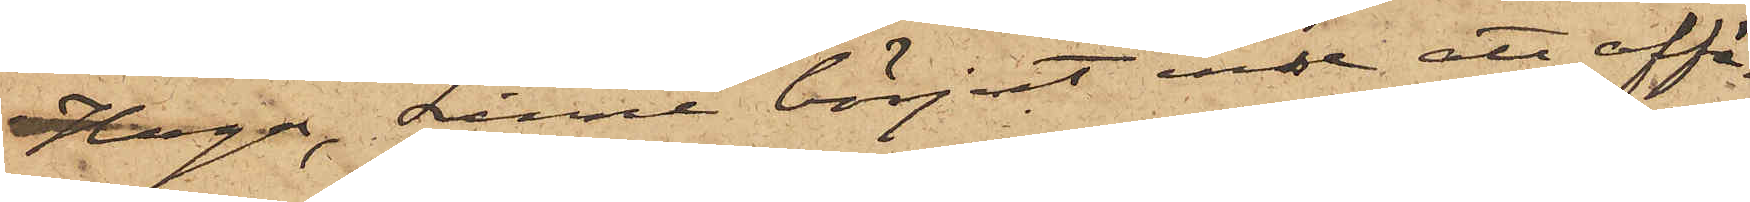i Haga, Linné börjat inse att affä¬
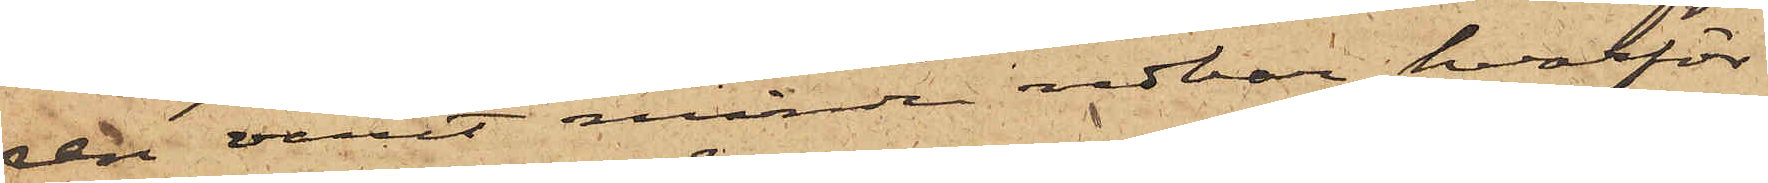ren varit mindre redbar, hvarför
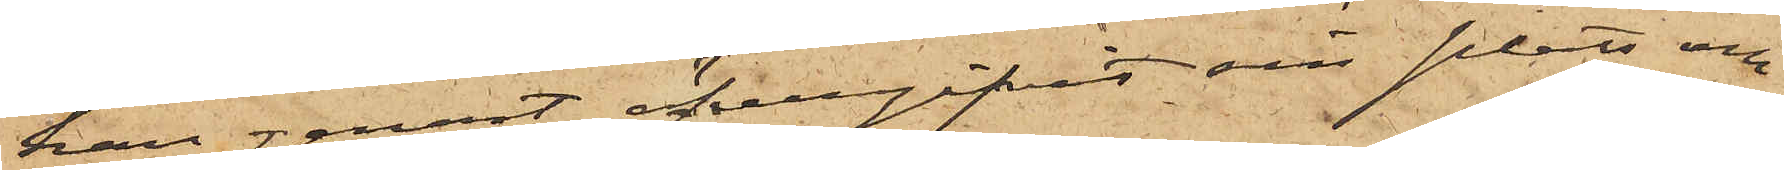han genast öfvergifvit sin plats och
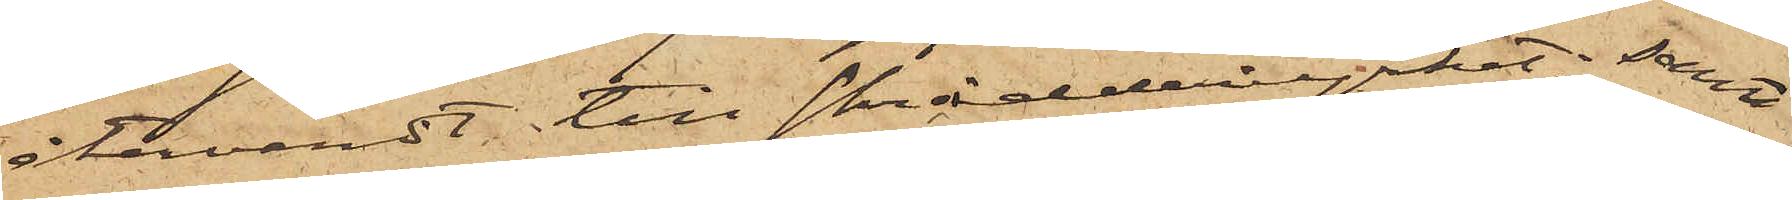återvändt till Skrädderiyrket; samt
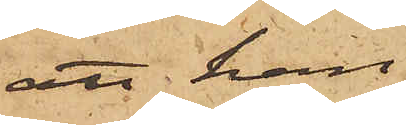att han
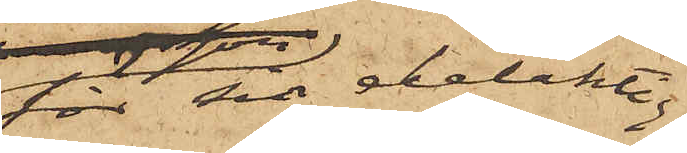för delaktig¬
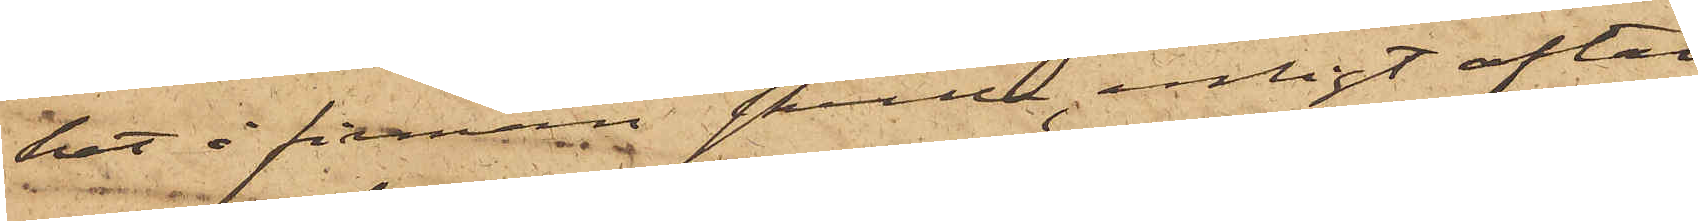het i firman skulle, enligt aftal
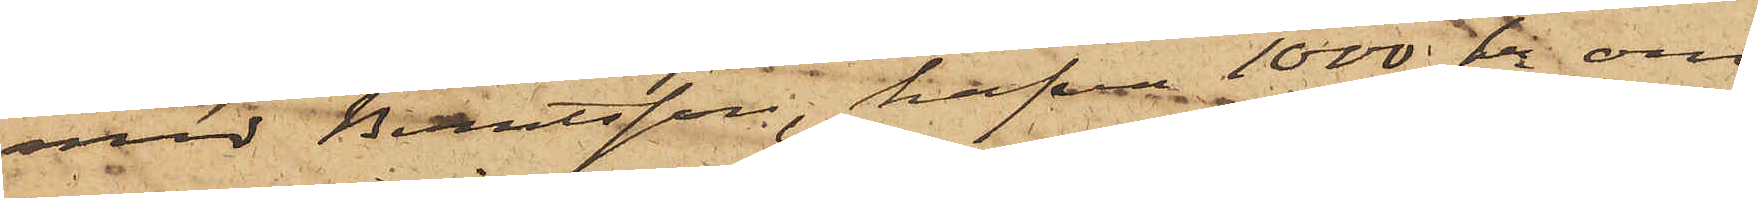med Berntsson, hafva 1000 kr om
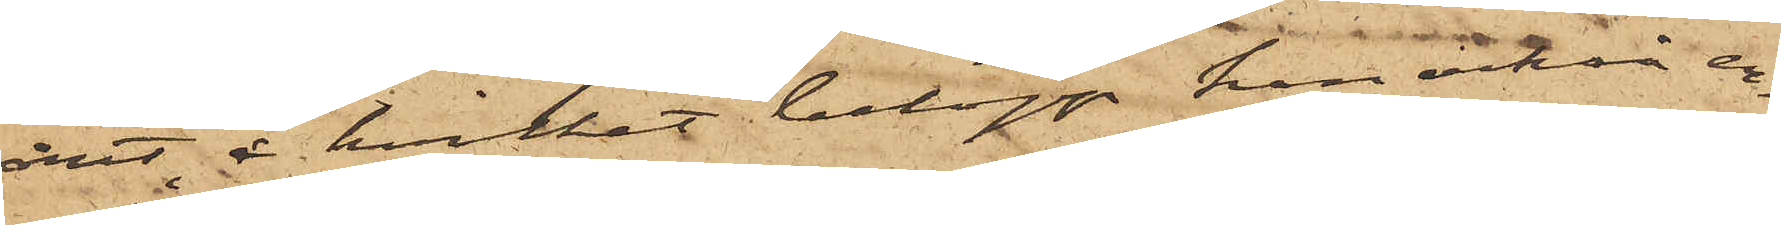året, å hvilket belopp han också er¬
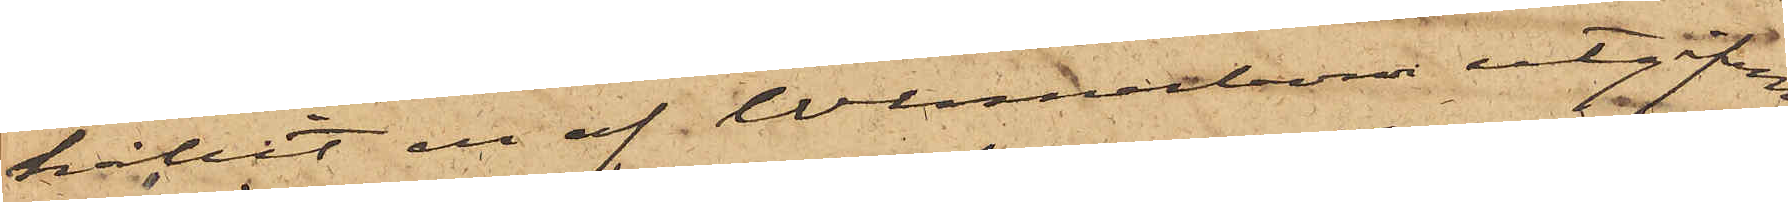hållit en af Wennerbom utgifven
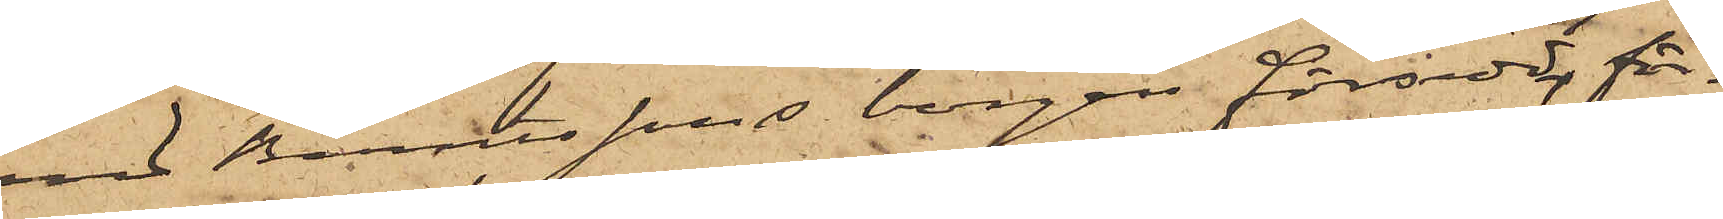med Berntssons borgen försedd för¬
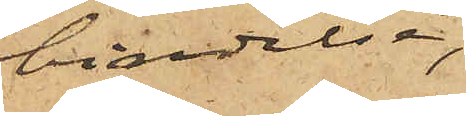bindelse,
